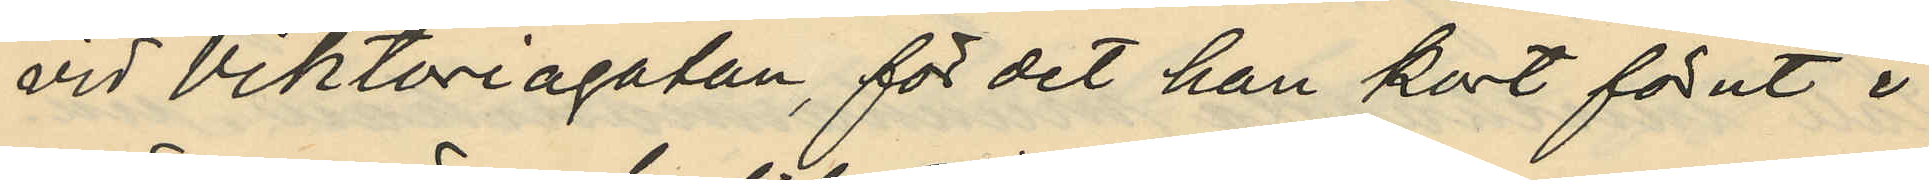vid Viktoriagatan, för det han kort förut i
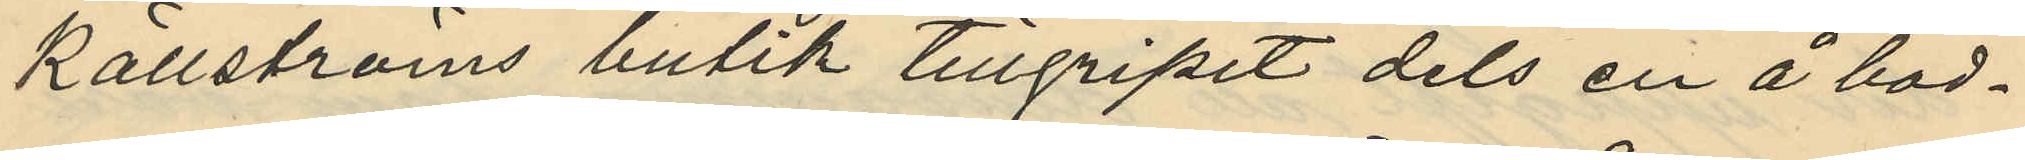Källströms butik tillgripit dels en å bod¬
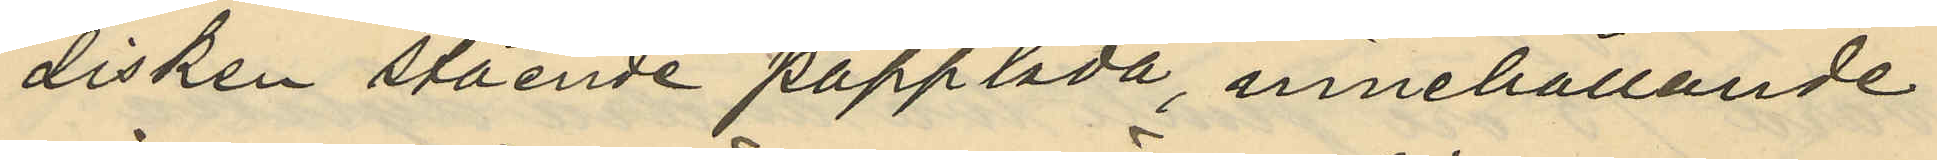disken stående papplåda, innehållande
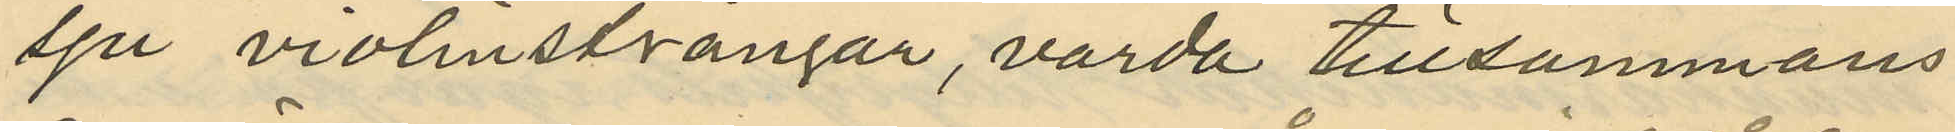sju violinsträngar, värda tillsammans
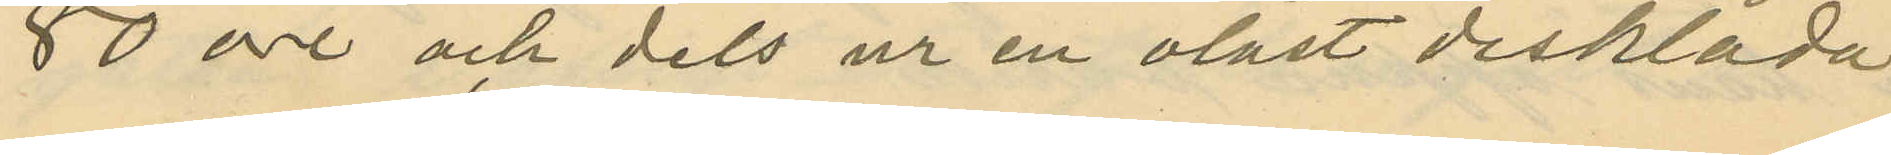50 öre och dels ur en olåst disklåda
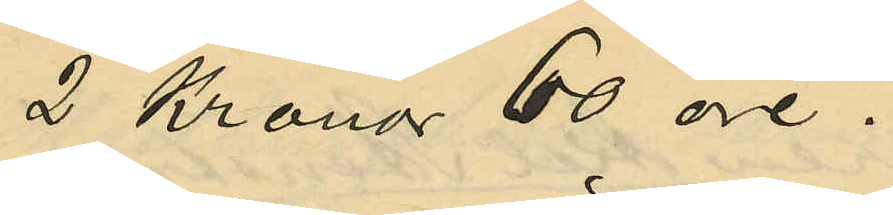2 Kronor 60 öre.
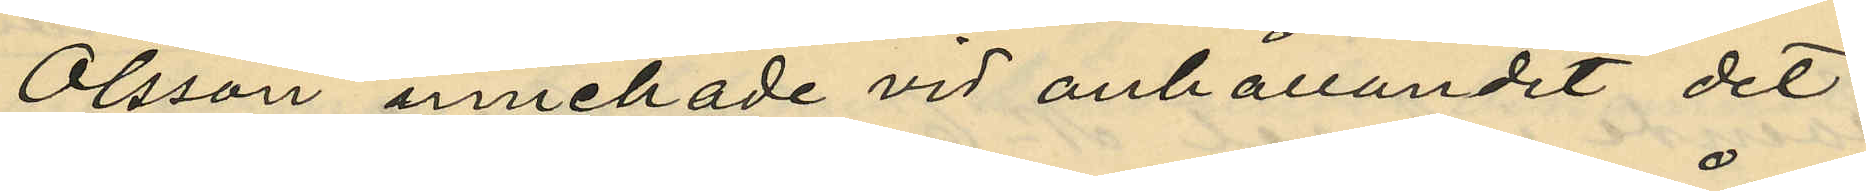Olsson innehade vid anhållandet det
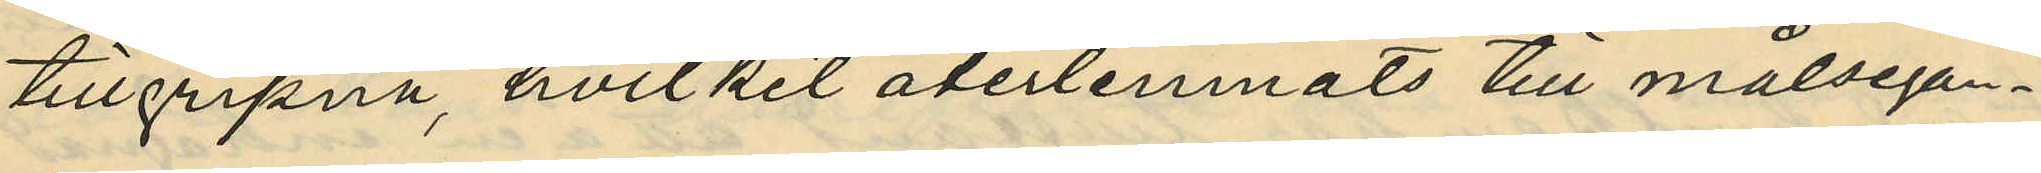tillgripna, hvilket återlemnats till målsegan¬
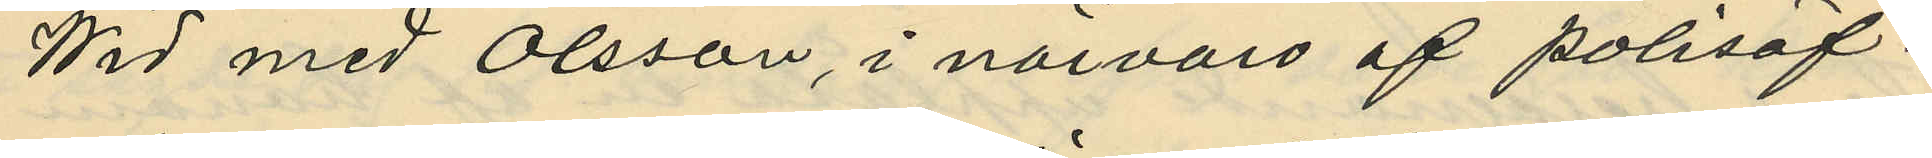Wid med Olsson, i närvaro af polisöf¬
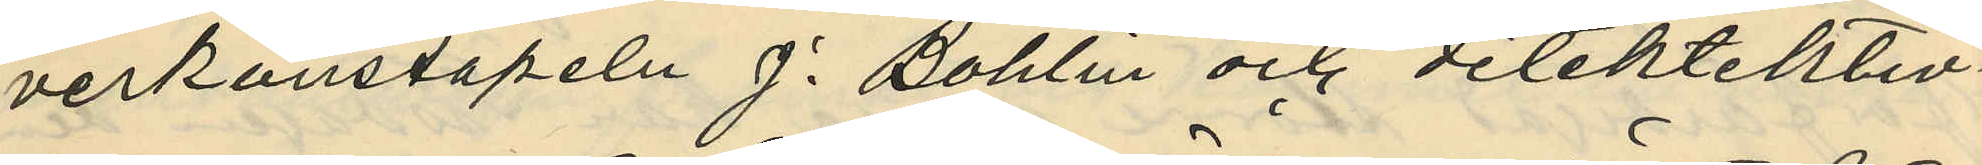verkonstapeln J. Bohlin och detektiktiv¬
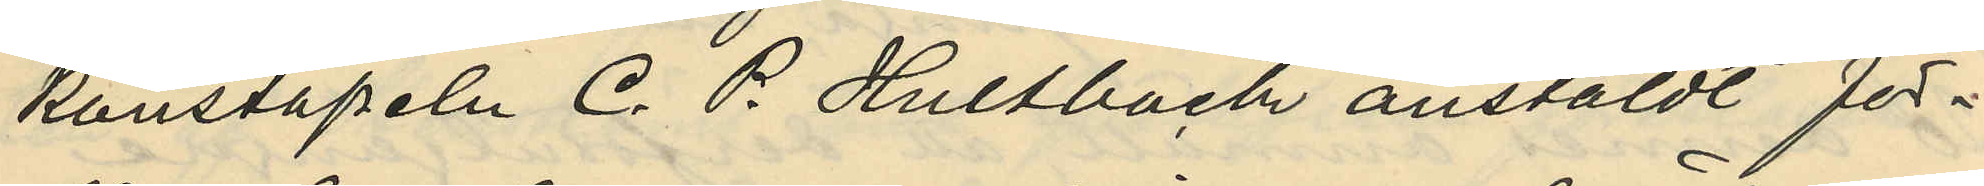konstapeln C. P. Hultbäck anstäldt för¬
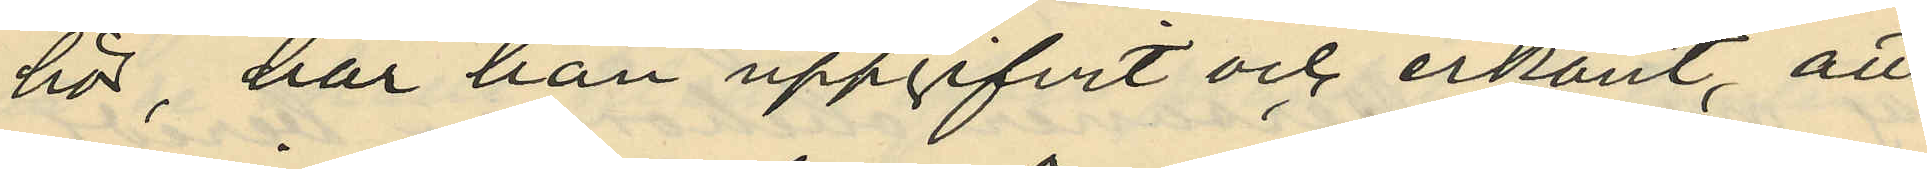hör, har han uppgifvit och erkänt, att
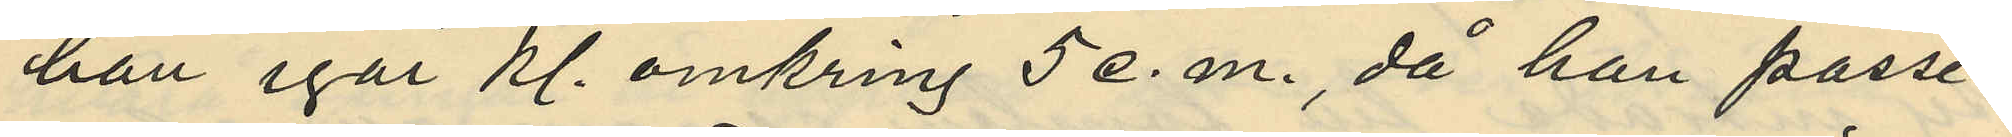han igår kl. omkring 5 e. m., då han passe¬
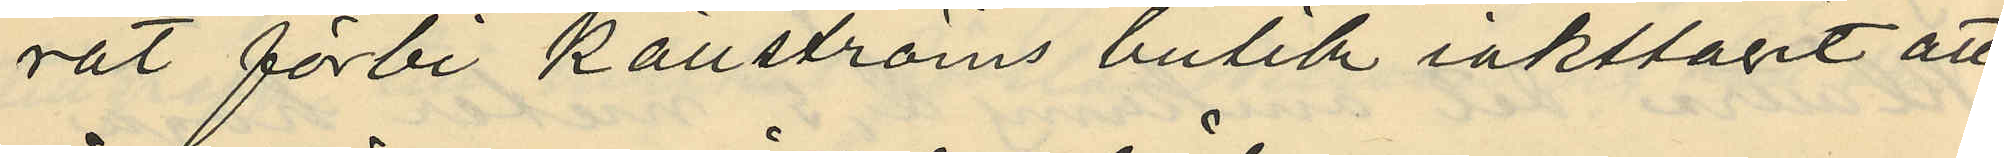rat förbi Källströms butik iakttagit att
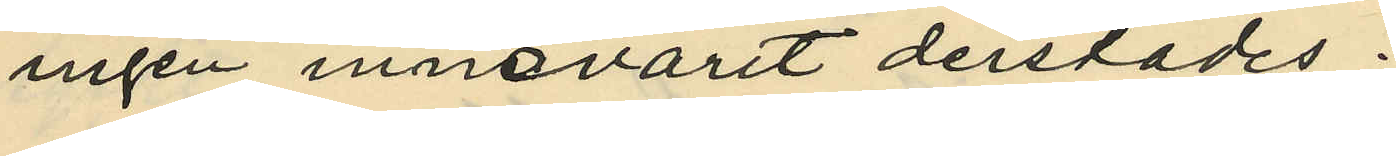ingen innevarit derstädes;
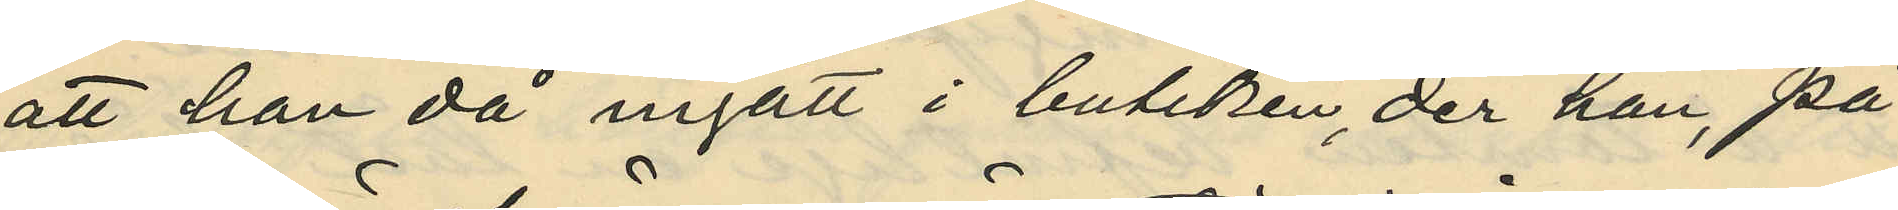att han då ingått i butiken, der han, på
